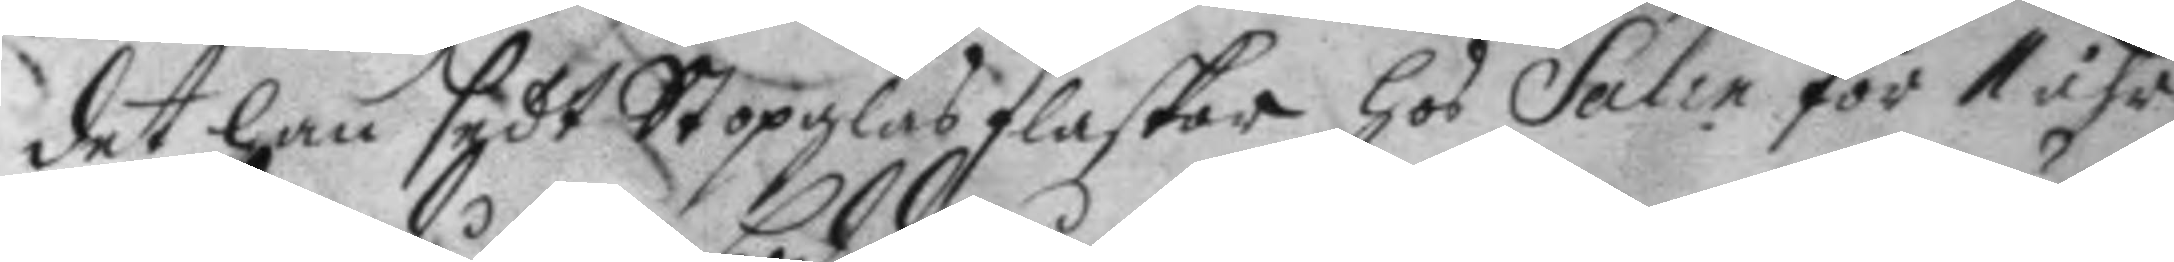det han sedt Stopglasflaskar hos Salin för 1 åhr
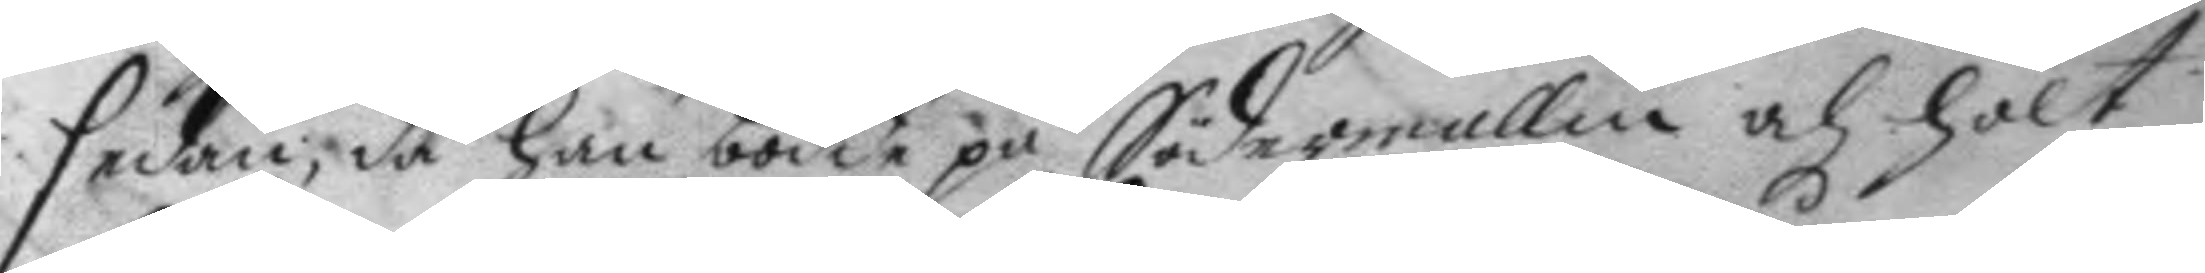sedan; då han bodde på Södermallm och hölt
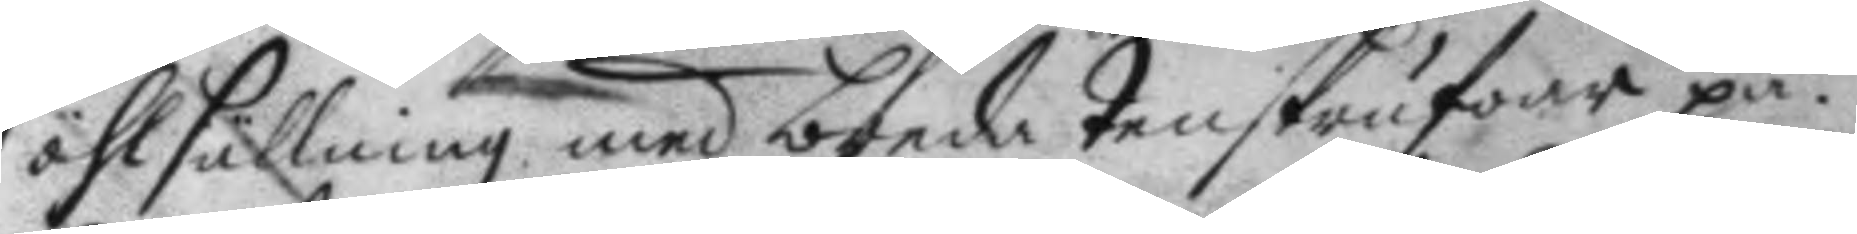öhlsällning med breda tenskrufwar på.
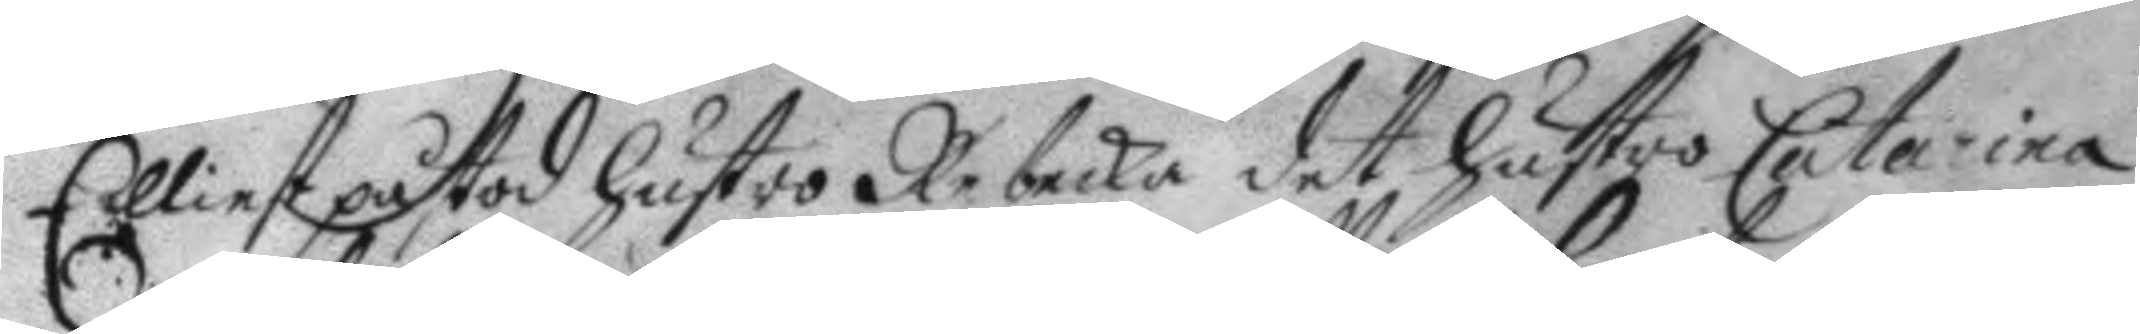Elliest påstod hustro Rebecka det hustro Catarina
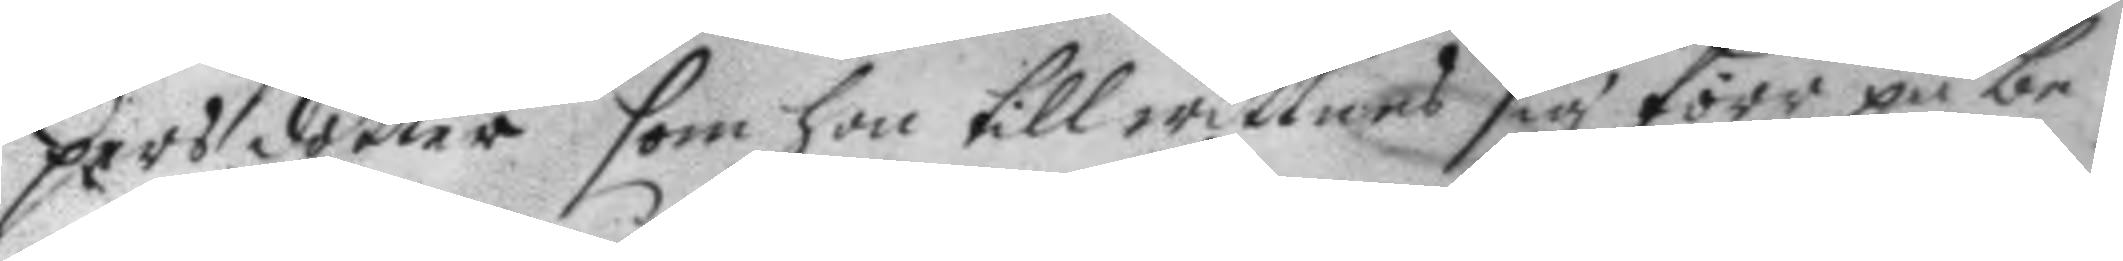pers dotter som hon till wittnes sig förr på be¬
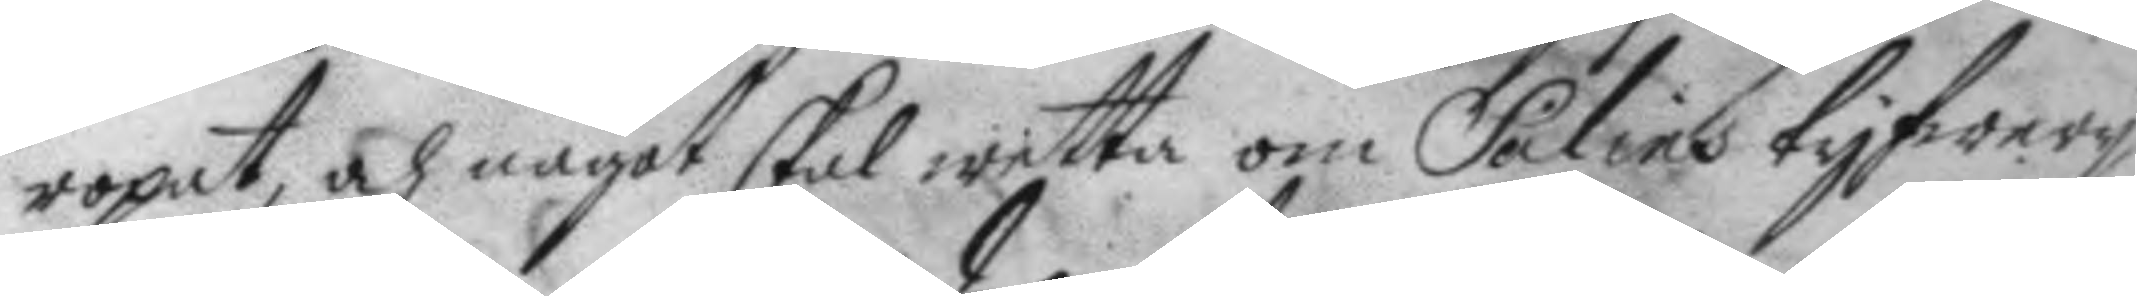ropat, och något skal wetta om Salins tyfwery
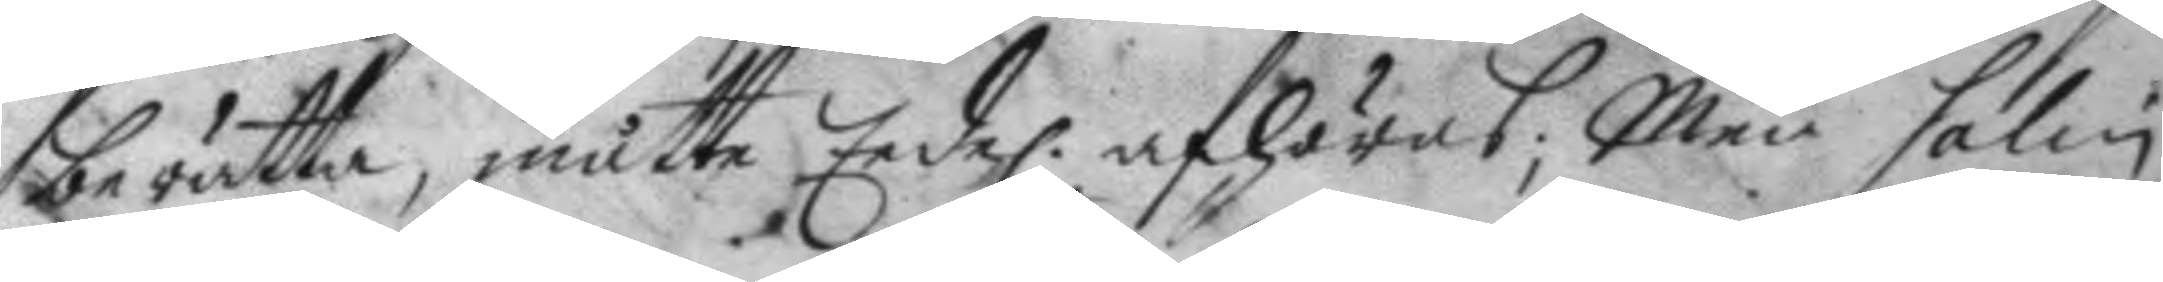berätta, måtte Eede. afhöras; Men Salin 
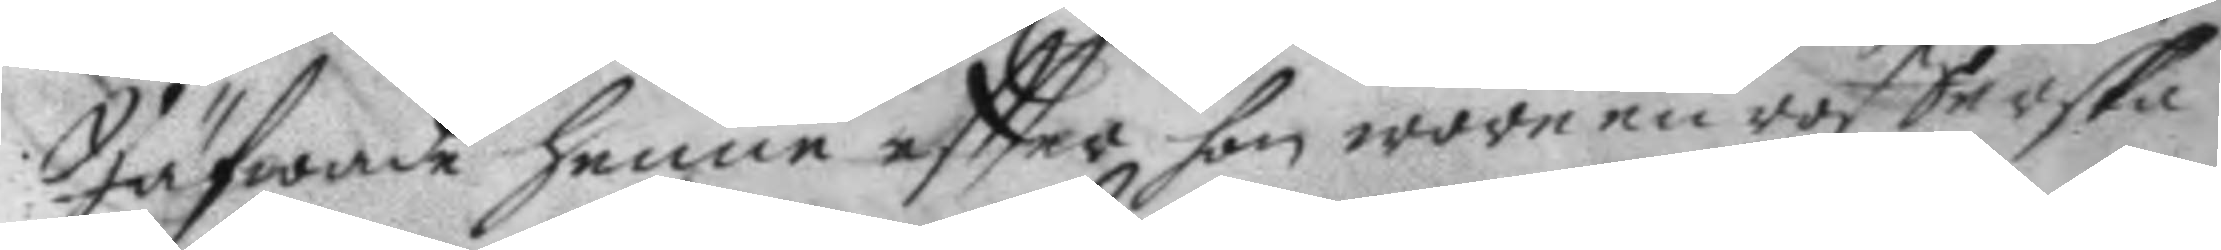Jäfwade henne eftter hon wore en rofferska
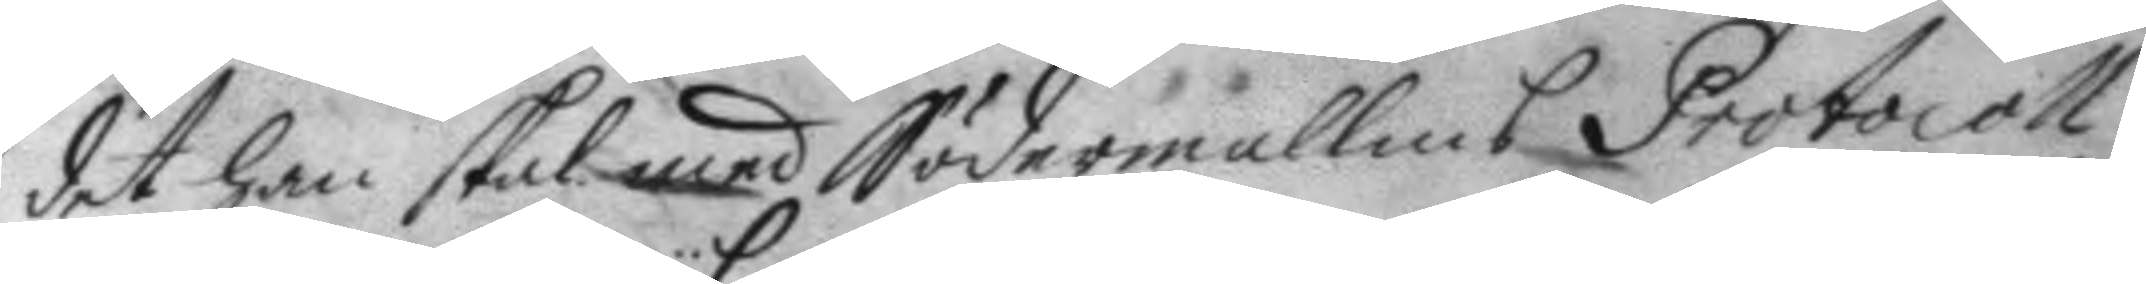det han skal med Södermallms Protocoll
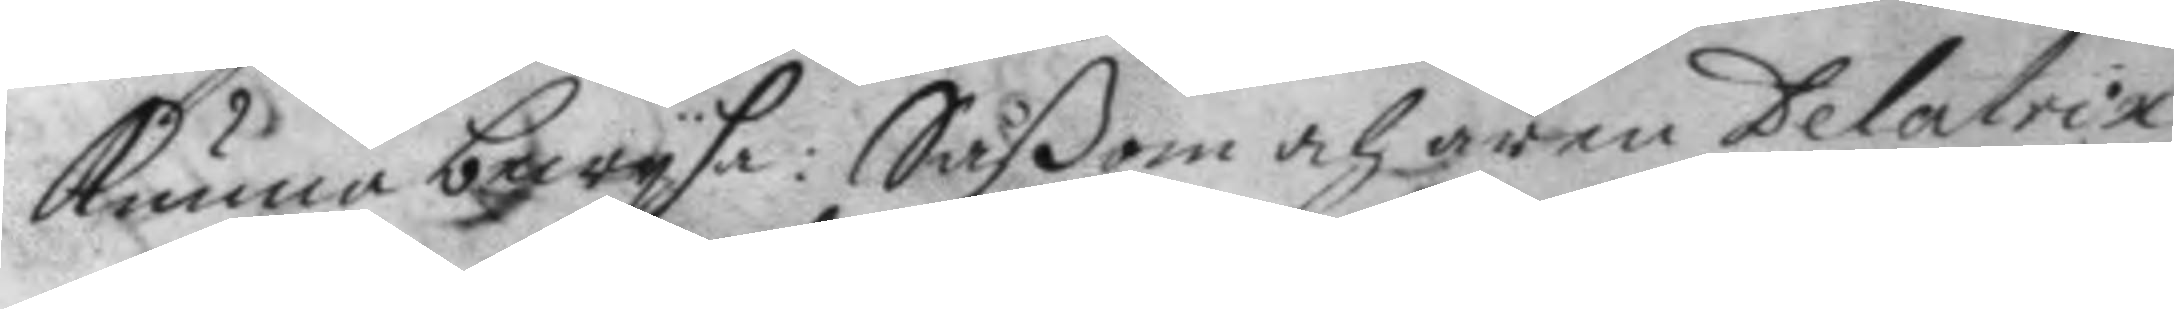kunna bewysa: Såßom och ären Delation
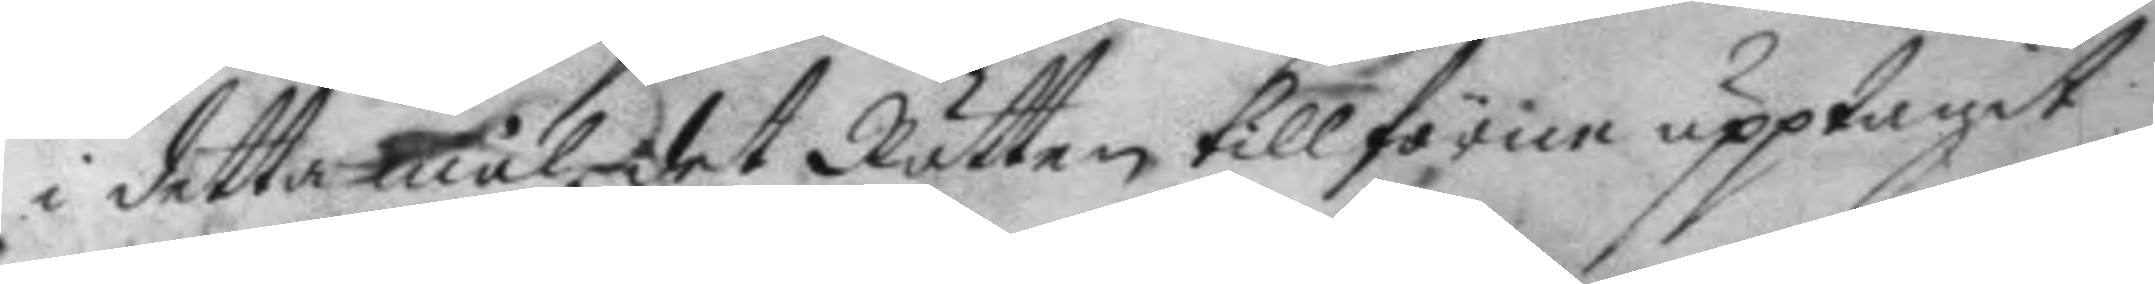i detta mål det Rätten tillförne upptagit
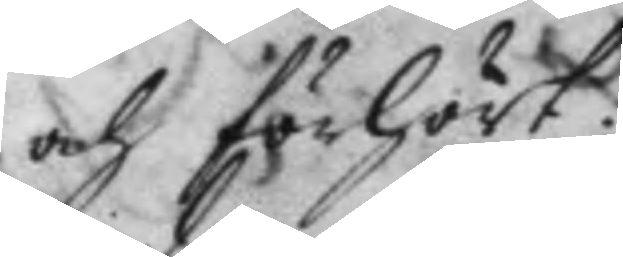och förhört.
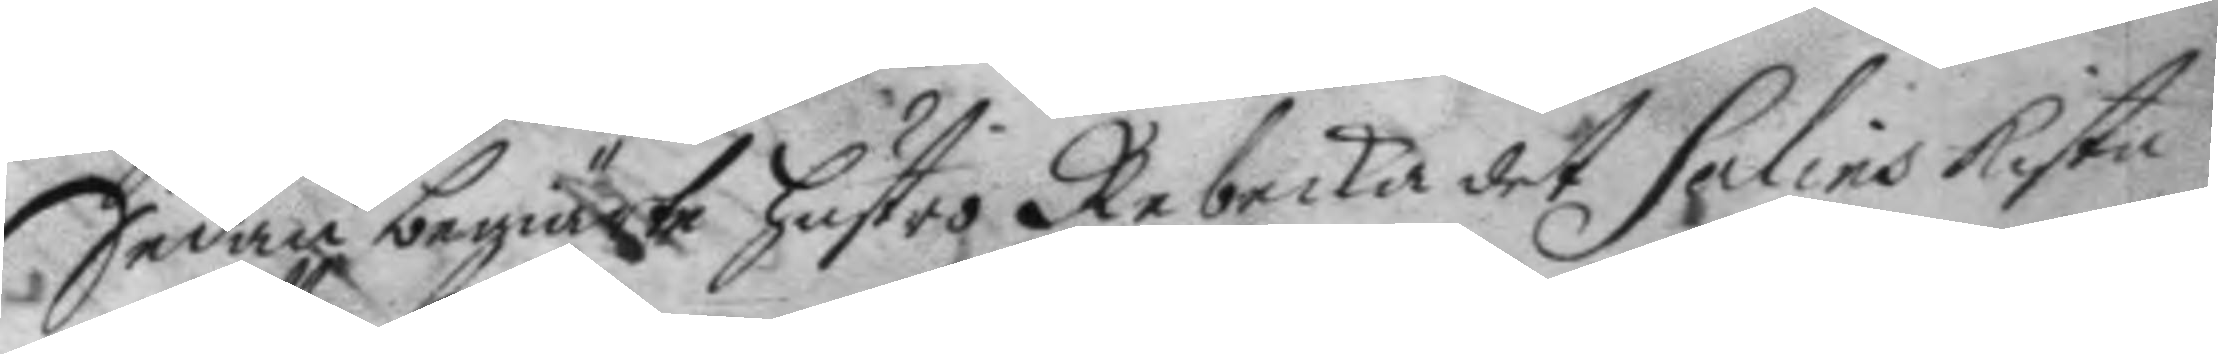Sedan begiärte hustro Rebecka det Salins Kista
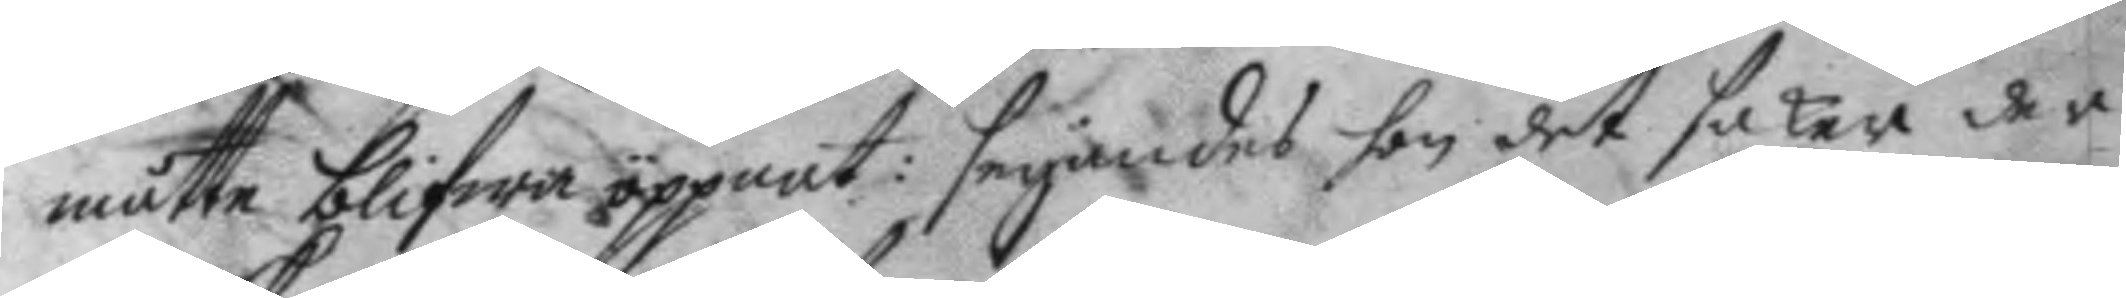måtte blifwa öppnat: seyandes hon det saker der
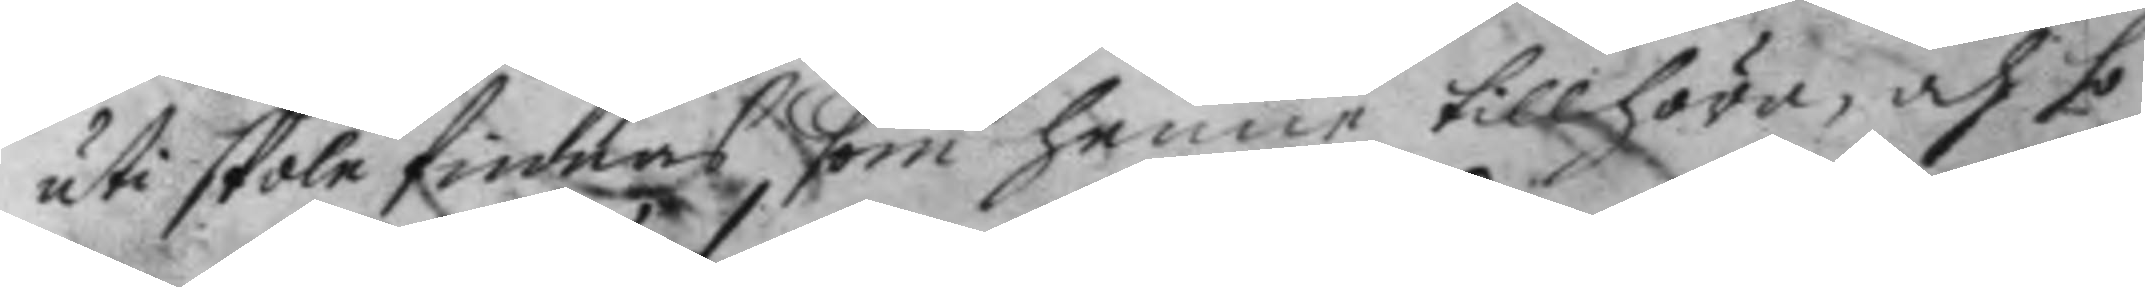uti skole finnas som henne tillhöra, och ho¬
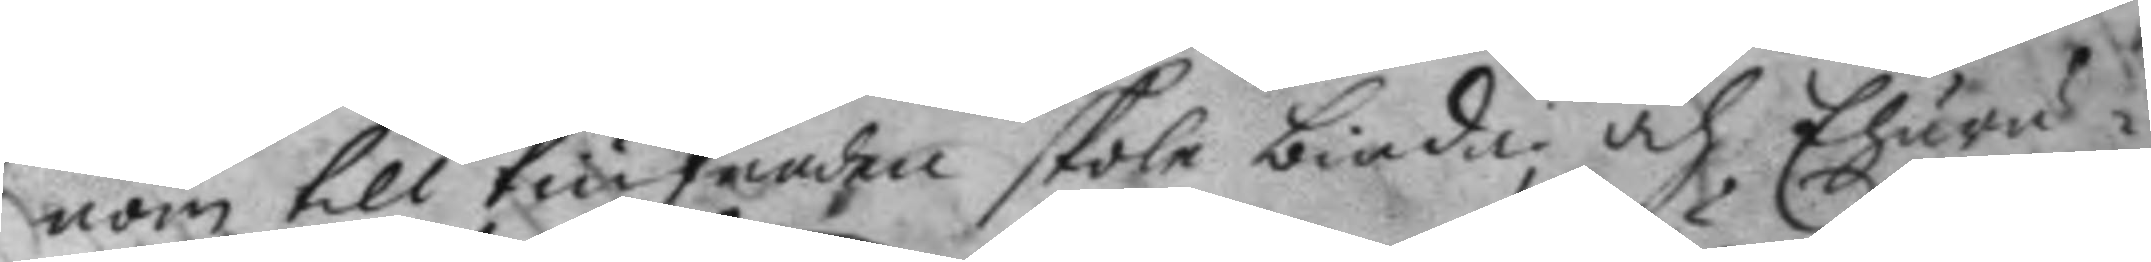nom till tiufnaden skole binda och Ehuru¬
